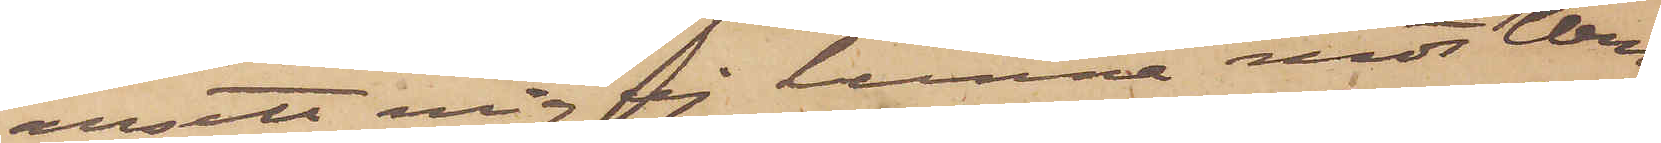ansett mig ej kunna modt Wen¬
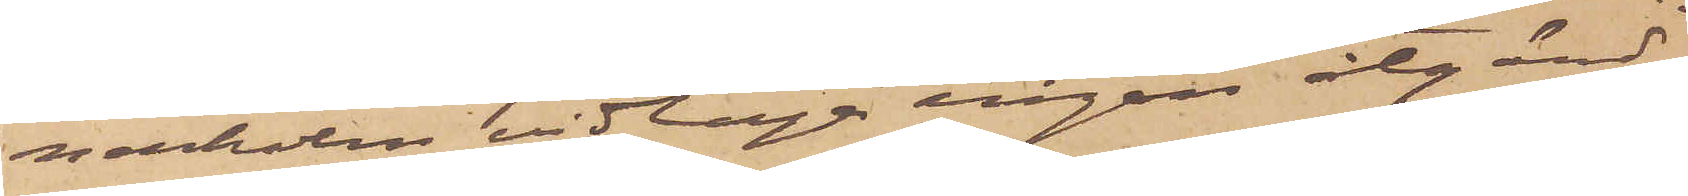nerholm vidtaga någon åtgärd,
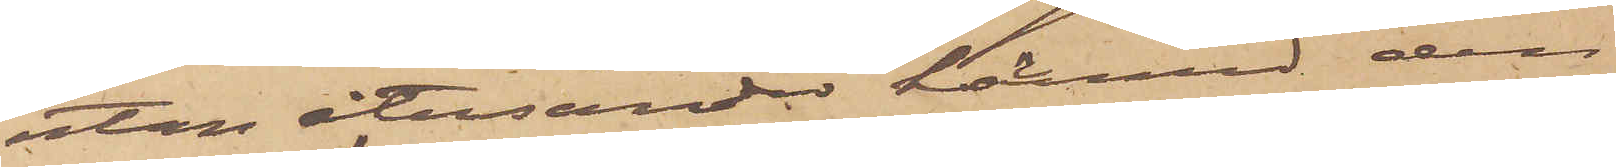utan återsänder härmed den
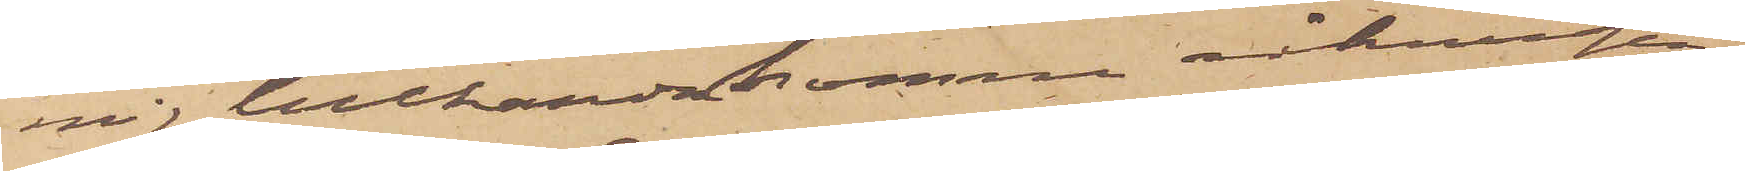mig tillhandakomna räkningen
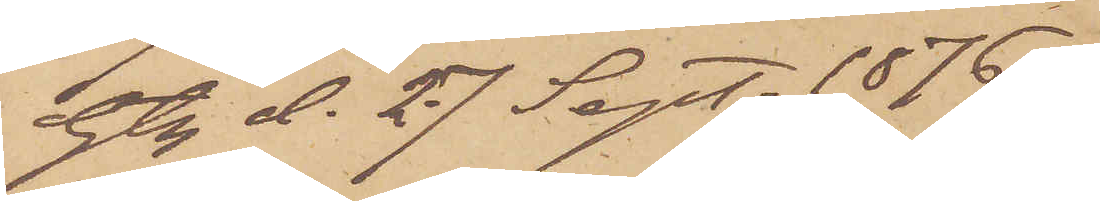Gtg d. 27 Sept. 1876.
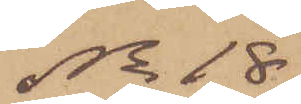No 18
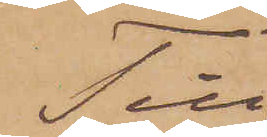Till
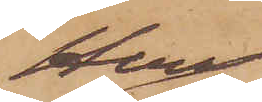Herr
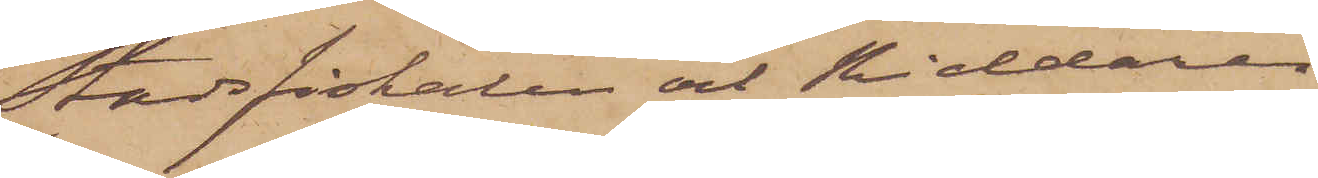Stadsfiskalen och Riddaren
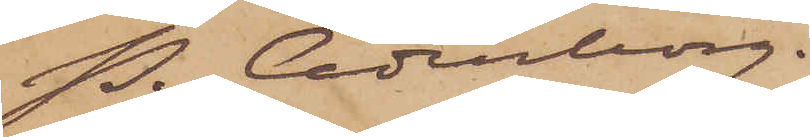P. Cederborg.
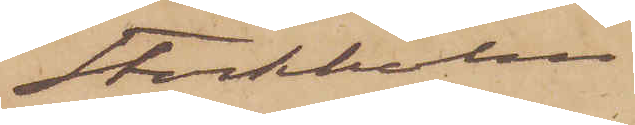Stockholm
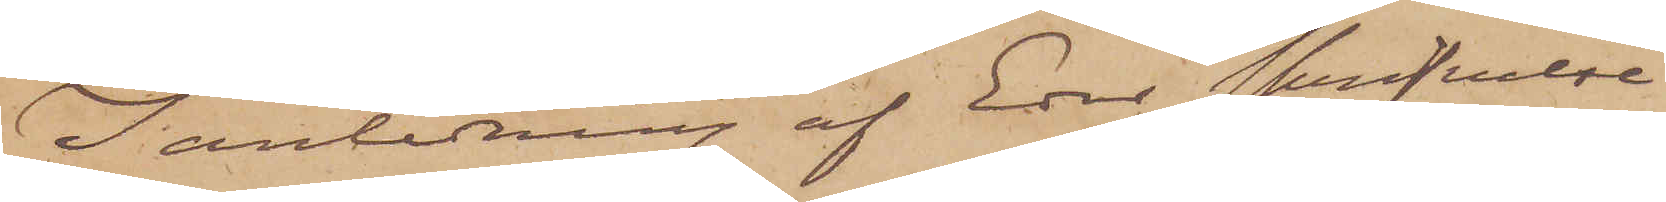I anledning af Eder skrifvelse
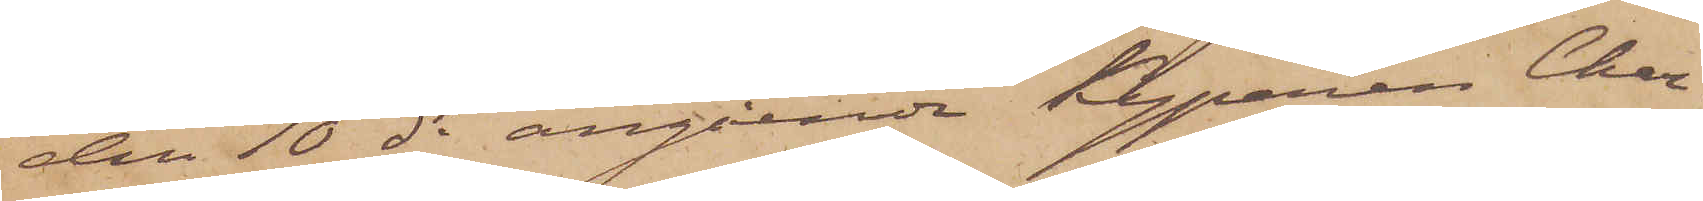den 10 ds angående Kyparen Char¬
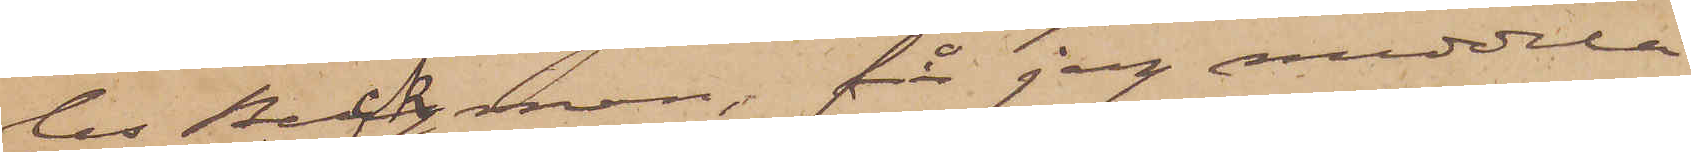les Beckman, får jag meddela
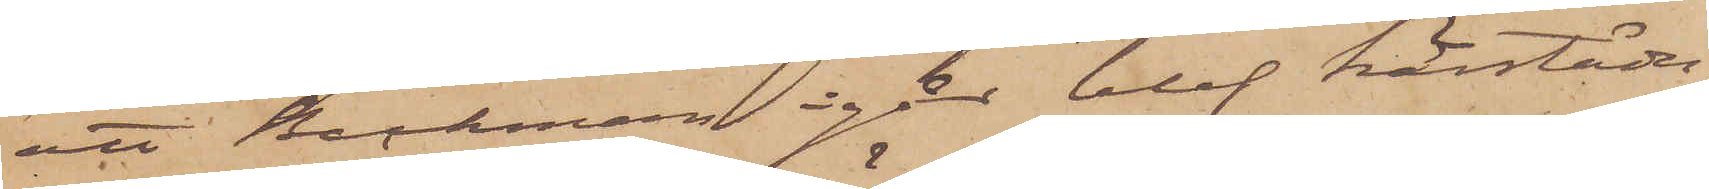att Beckman igår blef härstädes
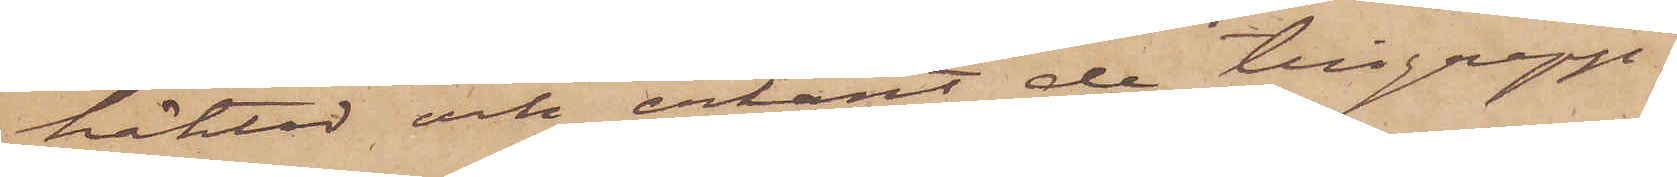häktad och erkänt de tillgrepp,
